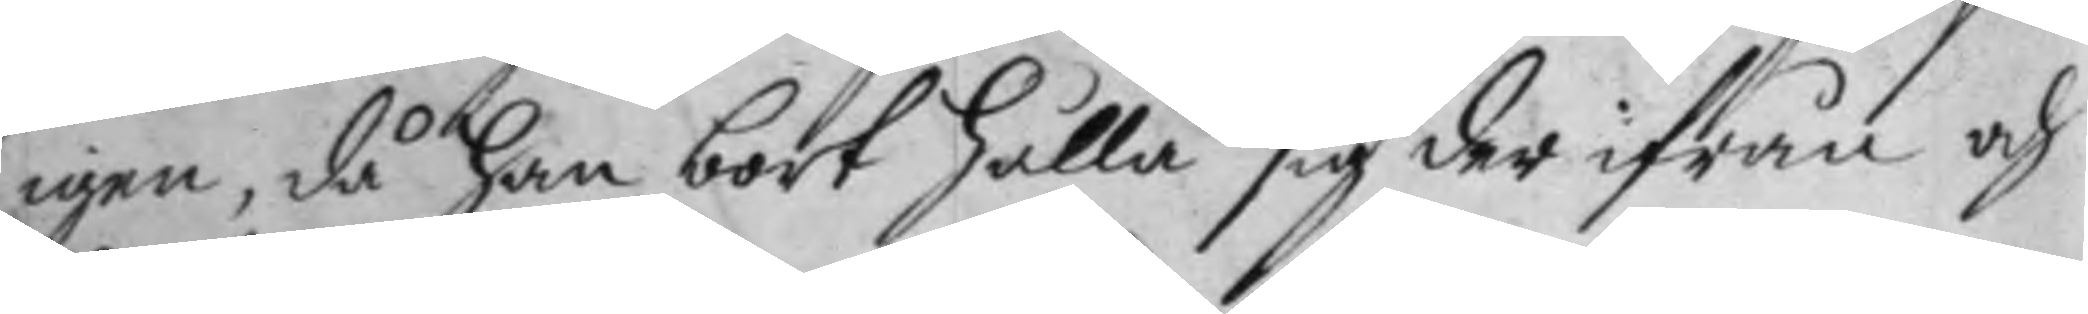igen, då han bort hålla sig der ifrån och
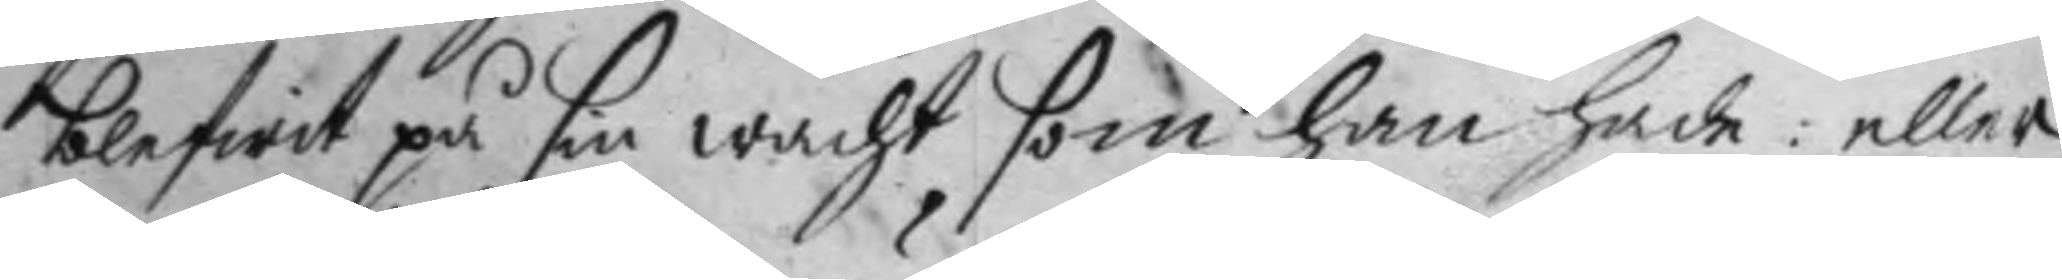blefwit på sin wacht som han hade: eller
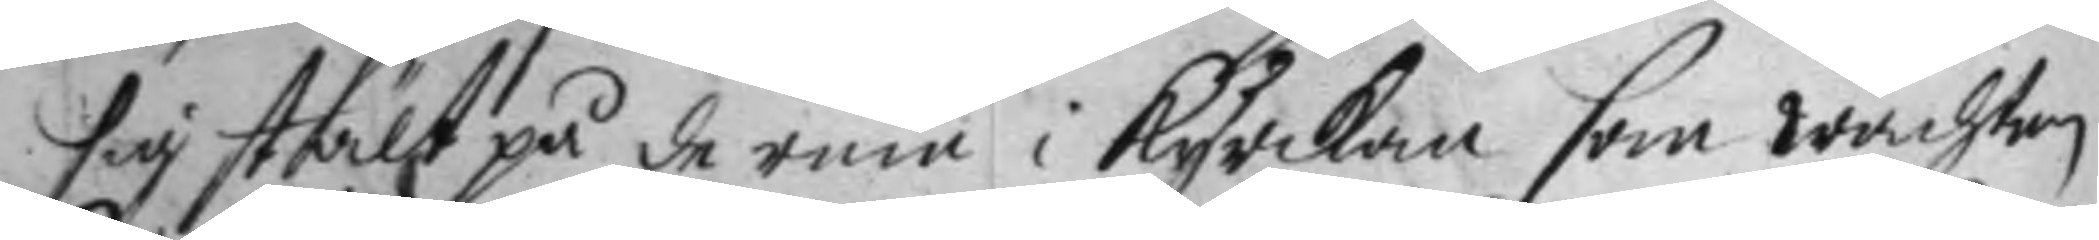sig stält på de rum i kyrkan som wachten
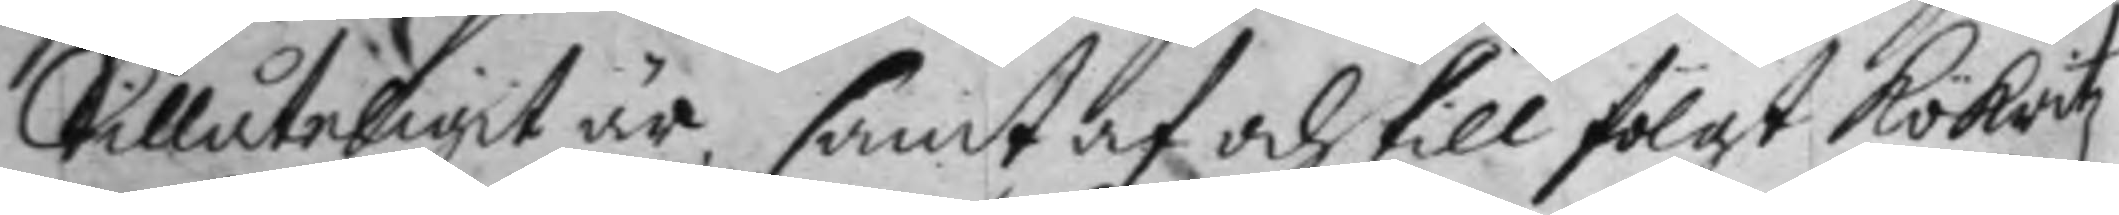tillåteligit är, samt af och till fölgt Rökritz 
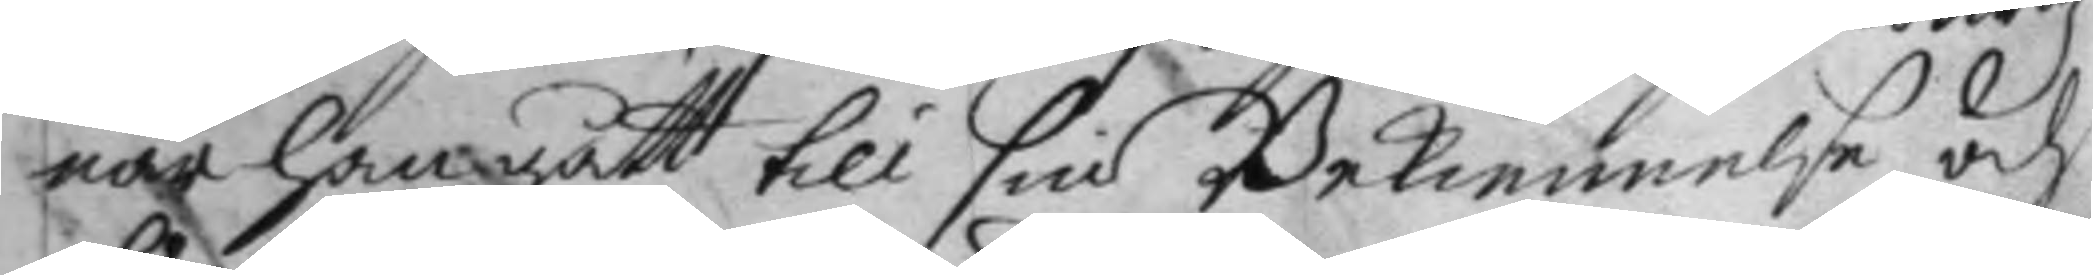när han gått till sin Bekiennelse och
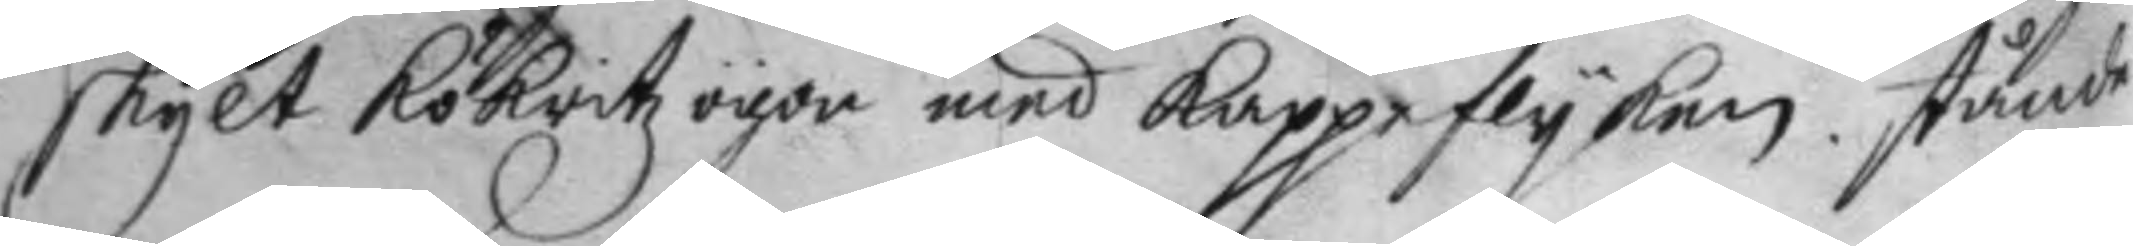skylt Rökritz ögon med kappeflyken stående
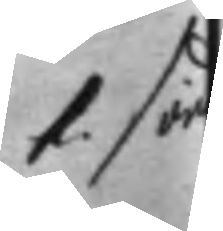1. sön
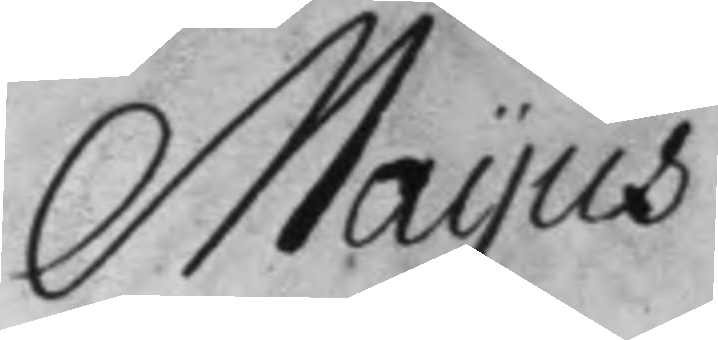Mayus
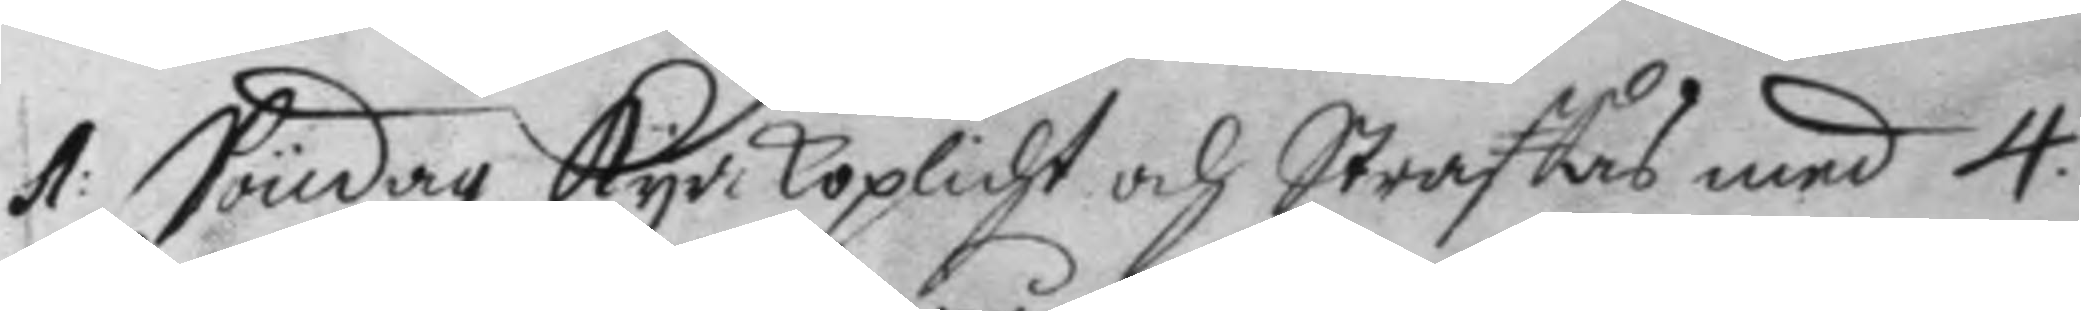1: Söndag kyrkoplicht och Straffas med 4.
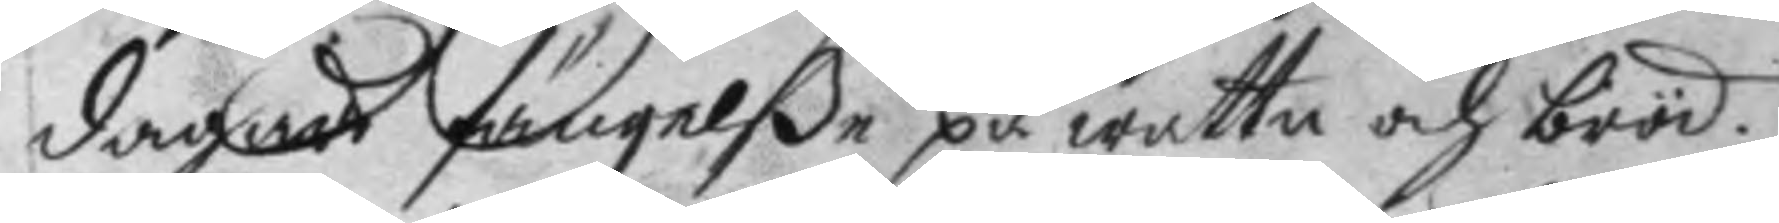dagars fängelße på wattn och bröd.
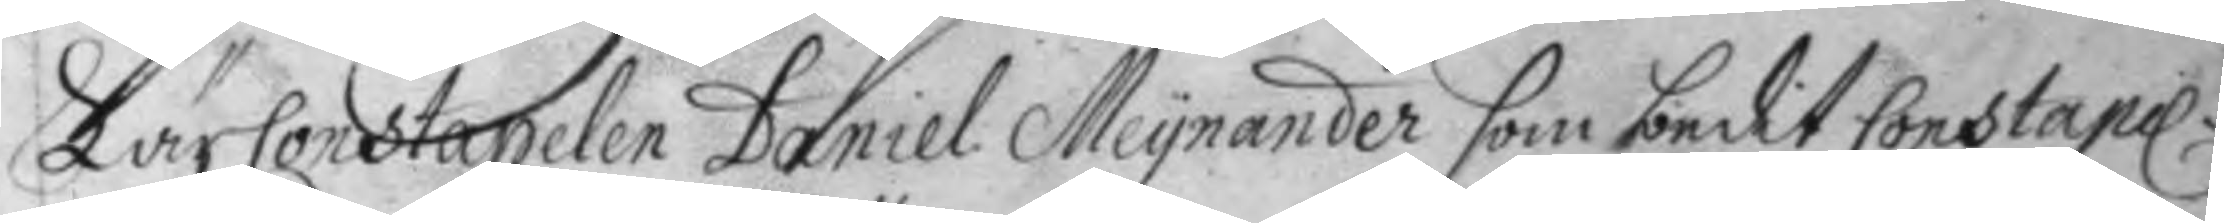Lär Constapelen Daniel Meynander som dedit Constapel.
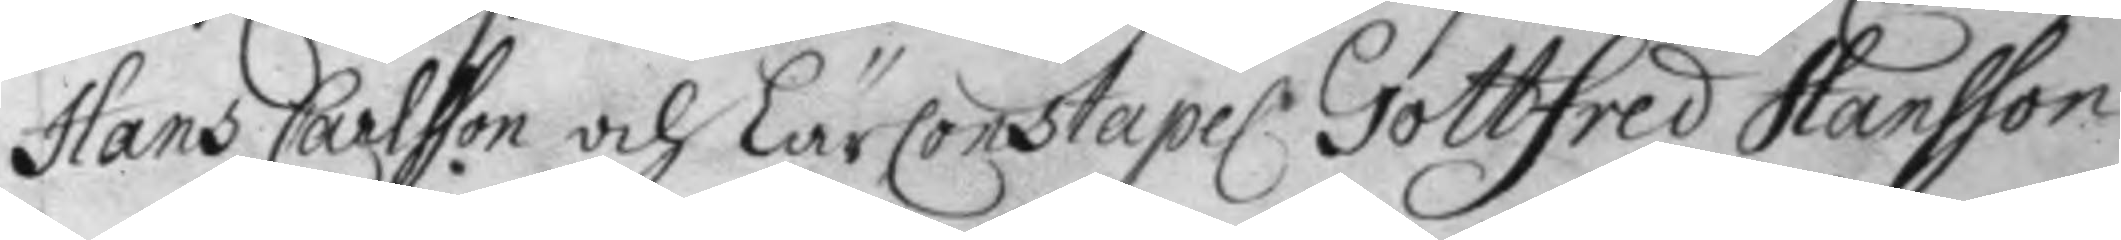Hans Carlsson och LärConstapel. Gottfred Hansson
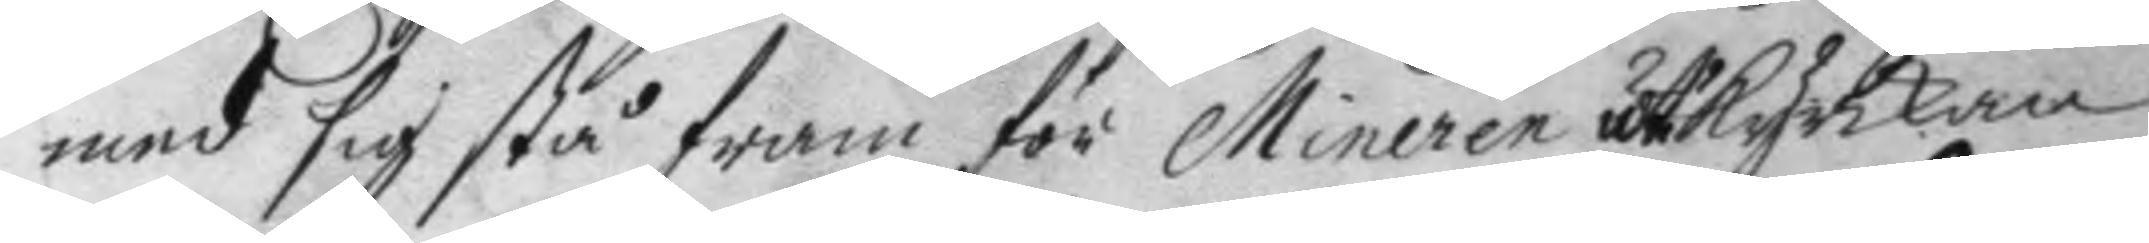med sig stå fram för Mineren uti kyrkan
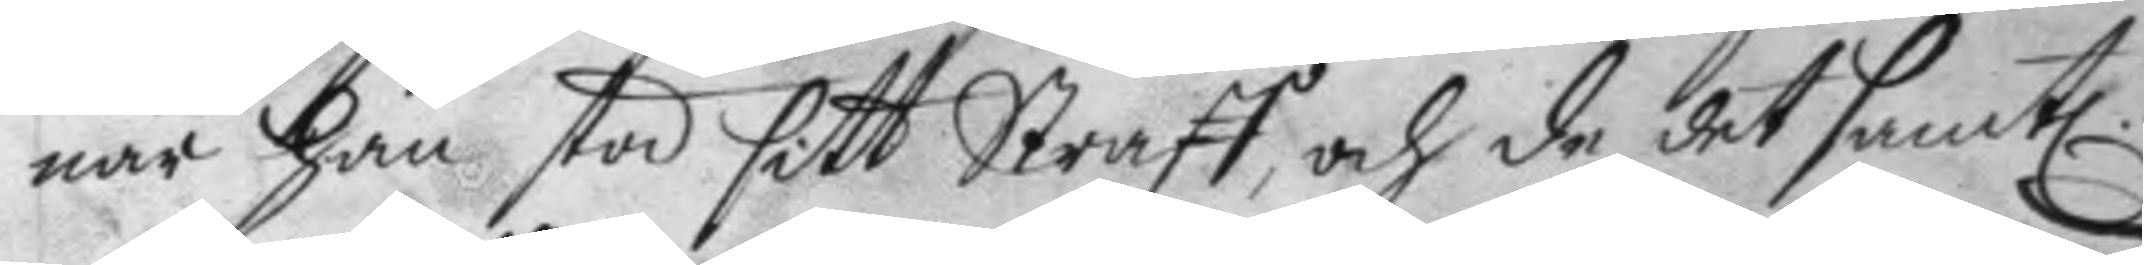när han stod sitt Straff, och de det samt.
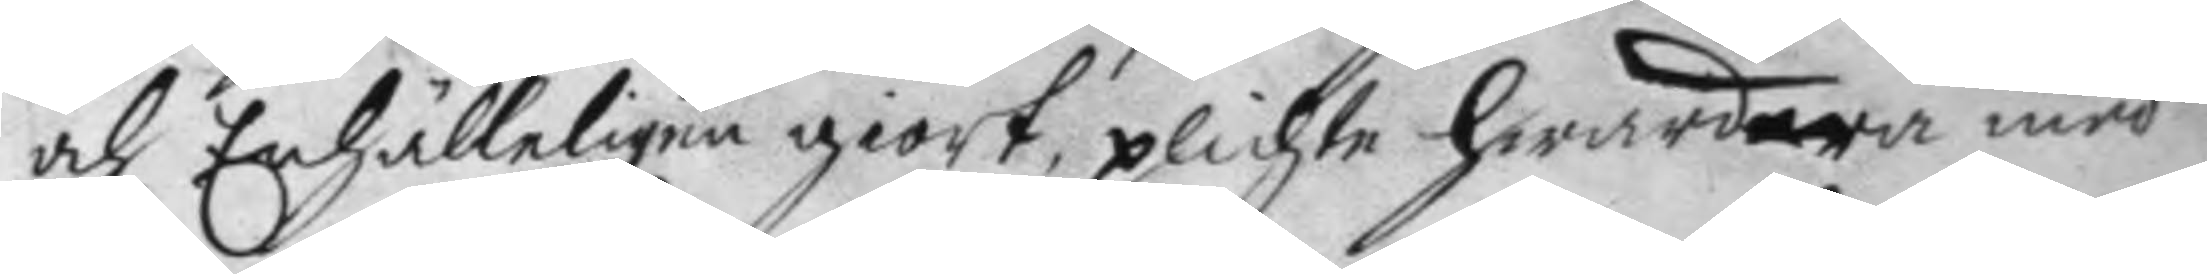och Enhälleligen giort, plichta hwardera med
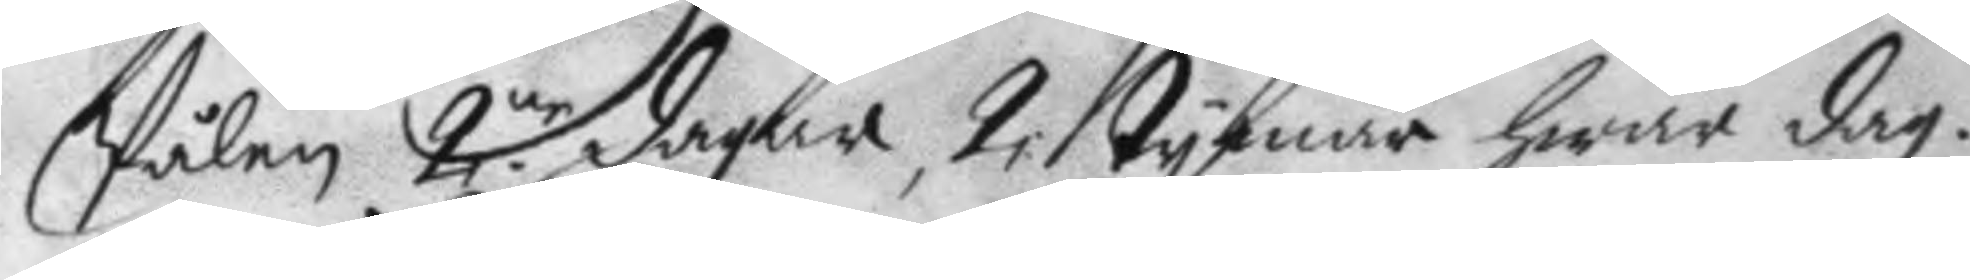Pålen 2:ne dagar, 2 tymar hwar dag.
